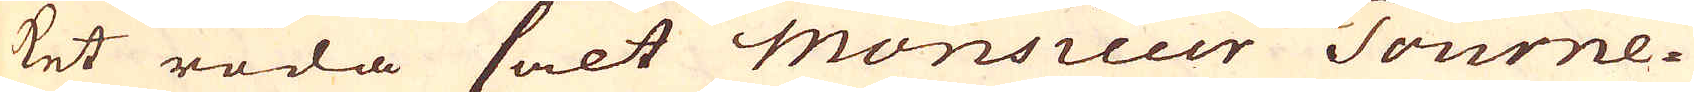ket röda salt Monsieur Tourne-
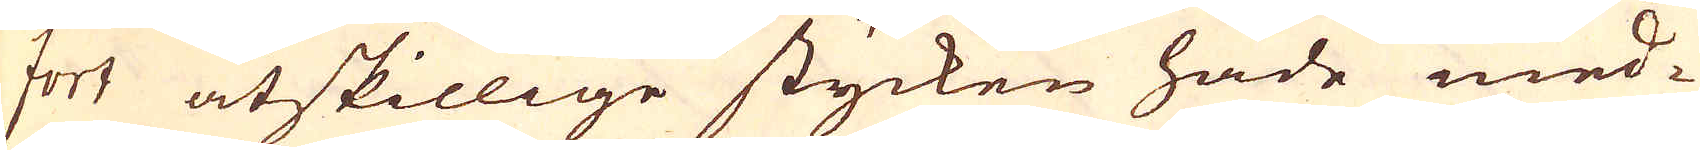fort åtskillige stycken hade med-
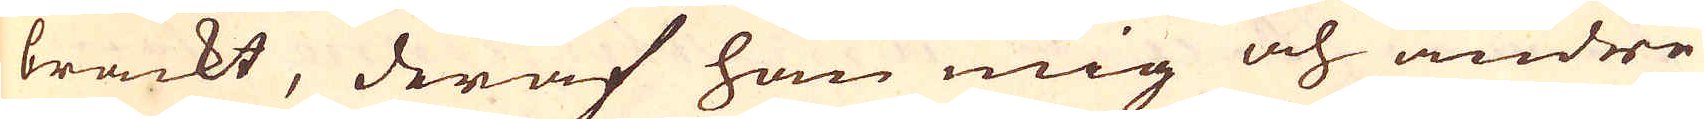brackt, deraf han mig och andre
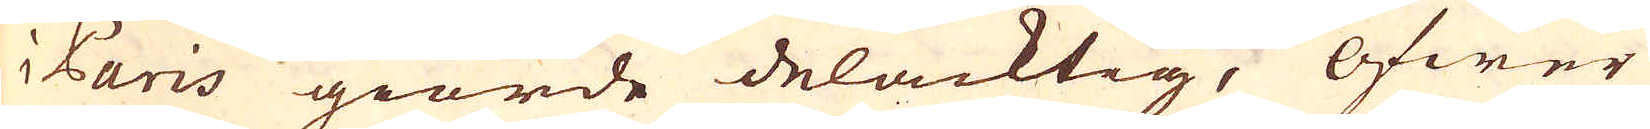i Paris giorde delacktig. Öfwer
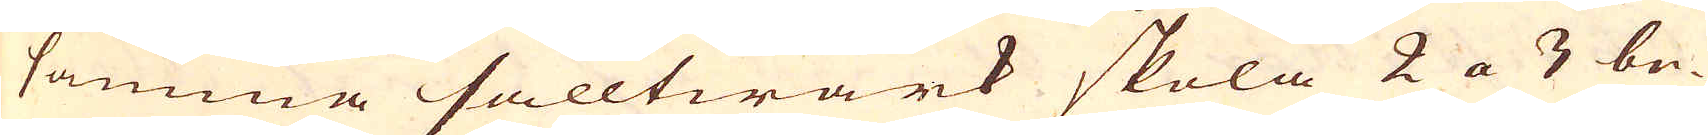samma salltwärk skola 2 a 3 be-
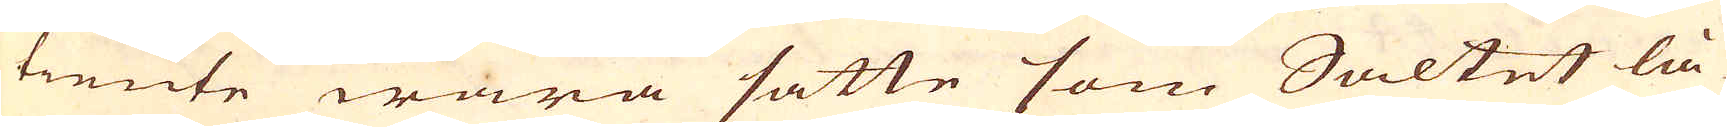tiente wara satte som Saltet lå-
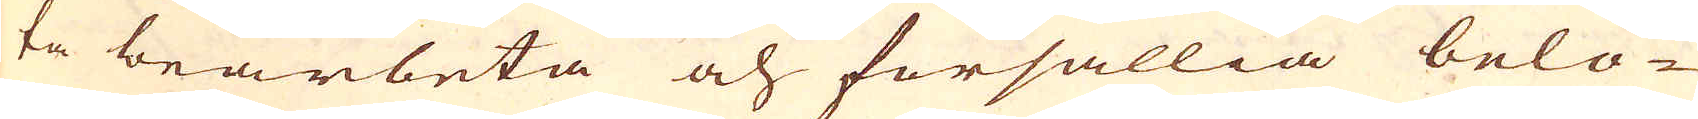ta bearbeta och försällia belö-
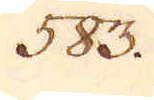583.
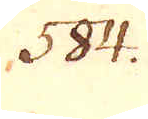584.
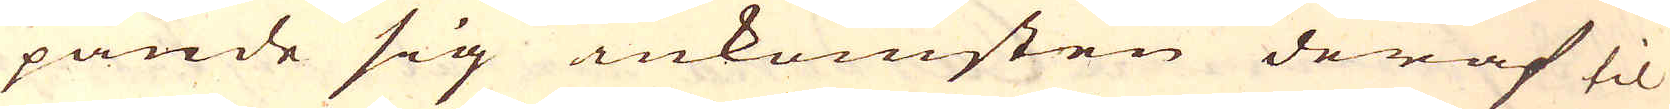pande sig inkomsten deraf til
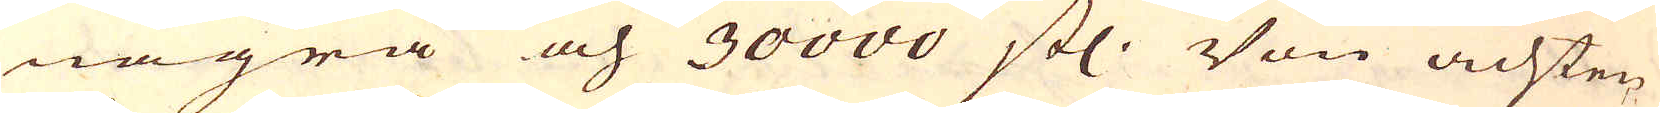några och 30000 stl. Von achten
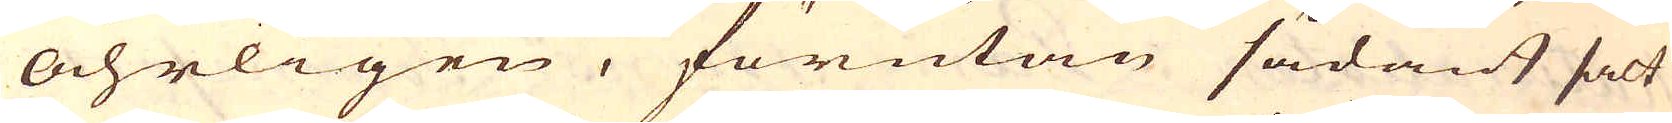åhrligen, förutan sådant salt
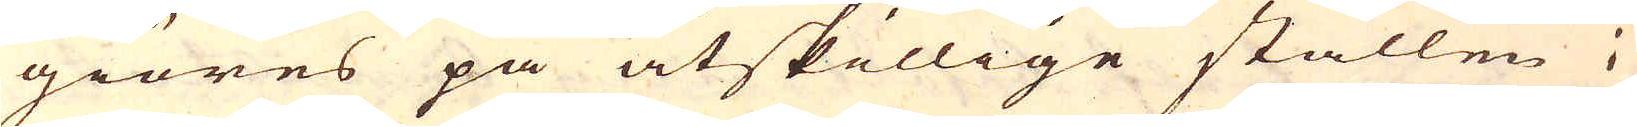giöres på åtskillige ställen i
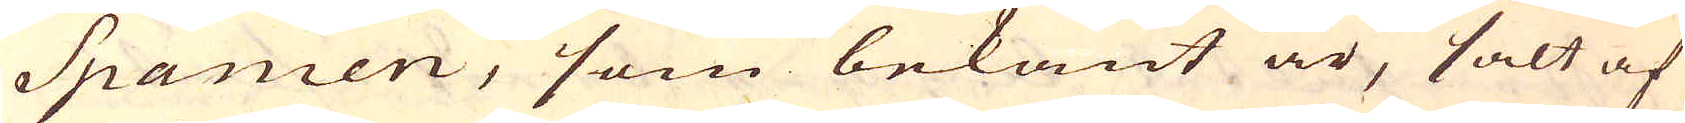Spanien, som bekant är, salt af
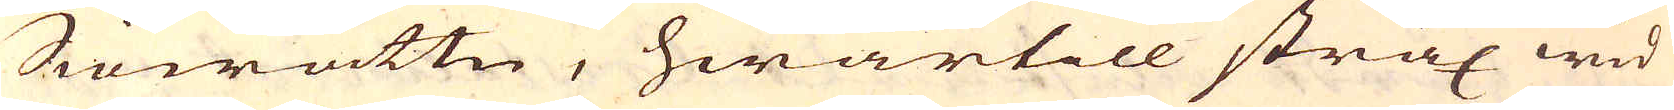Siöwattn, hwartill strax wid
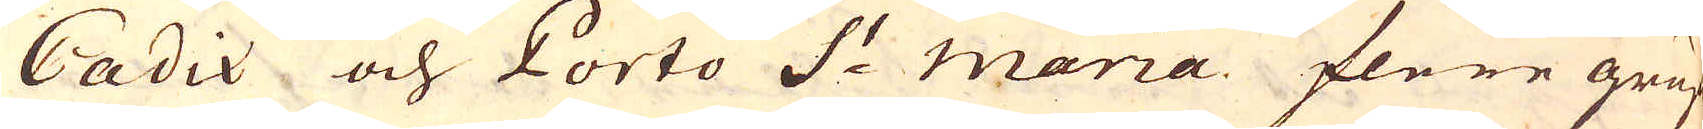Cadix och Porto S:t maria flere gruf-
